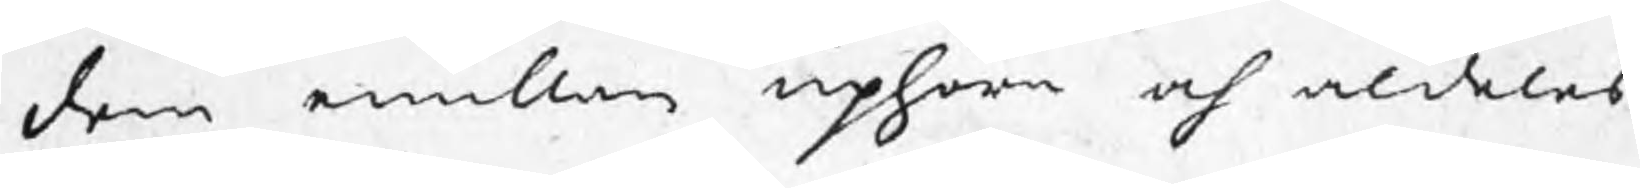dem emillan uphöra och aldeles
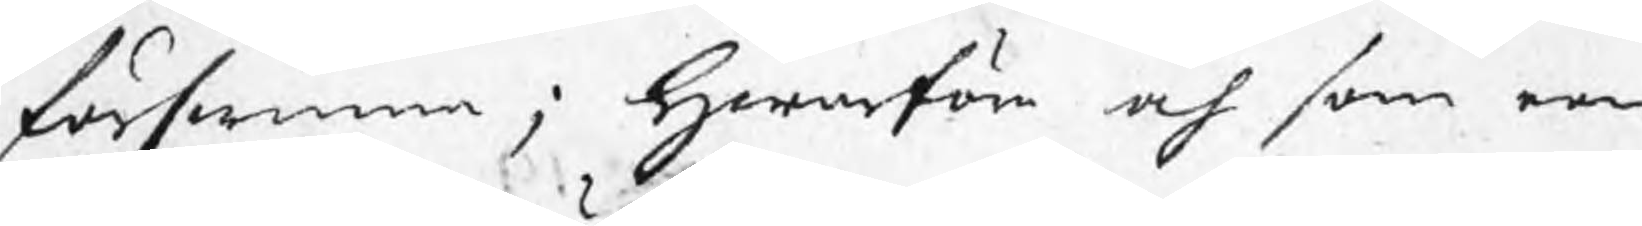förswinna; Hwarföre och som een
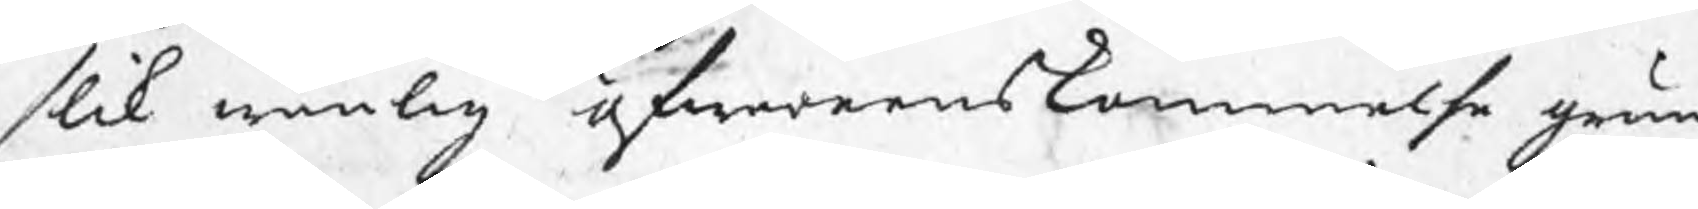slik wänlig öfwerenskommelse grun¬
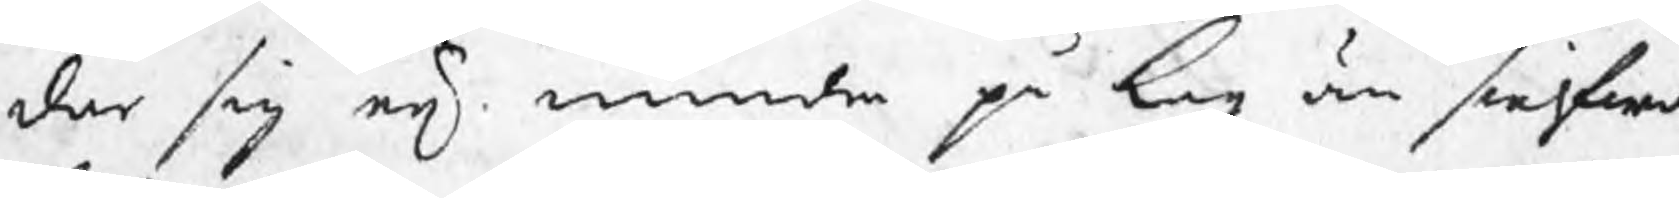dar sig eij mindre på Lag än sielfwa
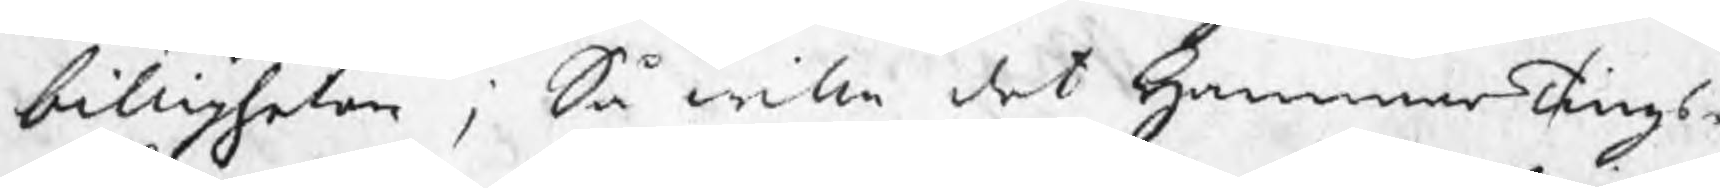billigheten ; Så wille det HammarTings¬
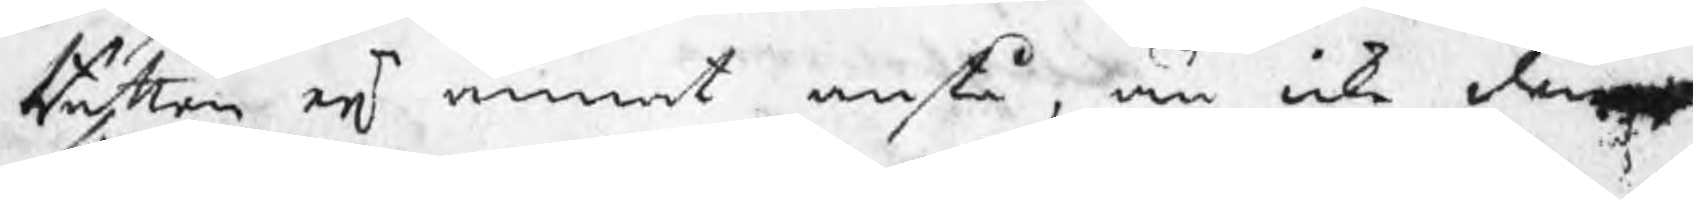Rätten eij annat anstå, än icke denne
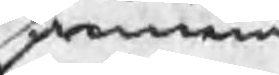samma
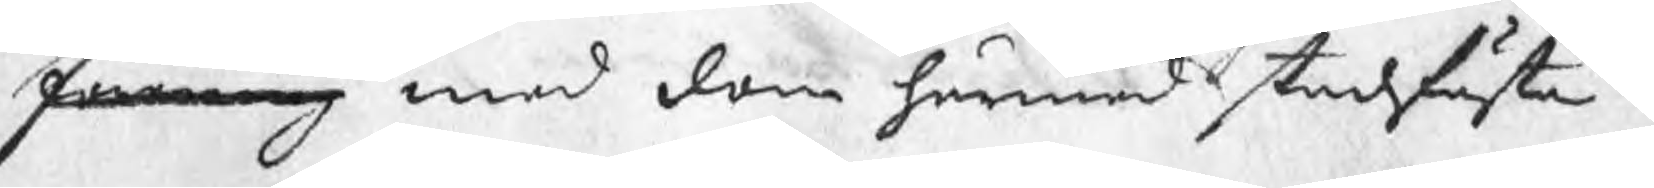förening med dom härmed stadfästa.
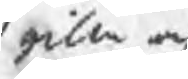gilla och
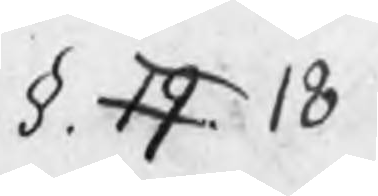§. 19 18
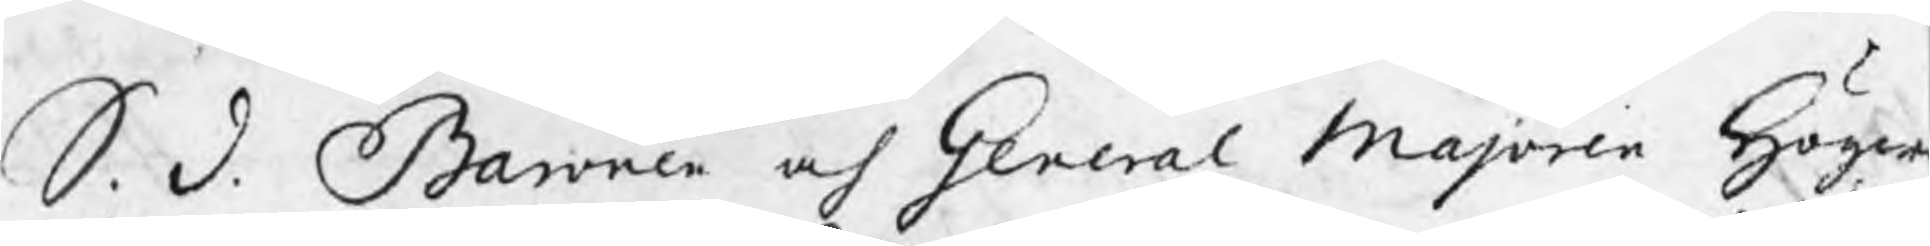S. D. Baronen och General Majoren Höger
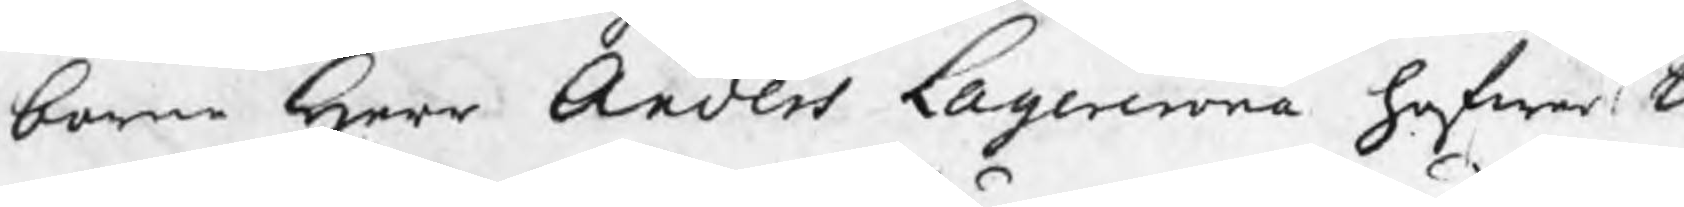borne Herr Anders Lagercrona hafwer ti
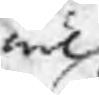wäl
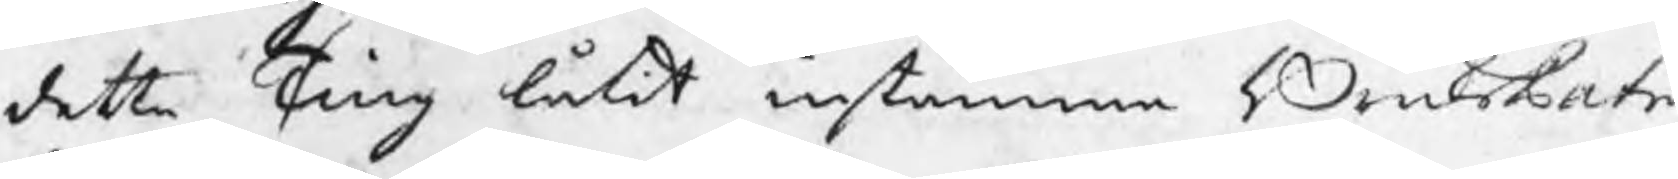detta Ting låtit instämma BruksPatr
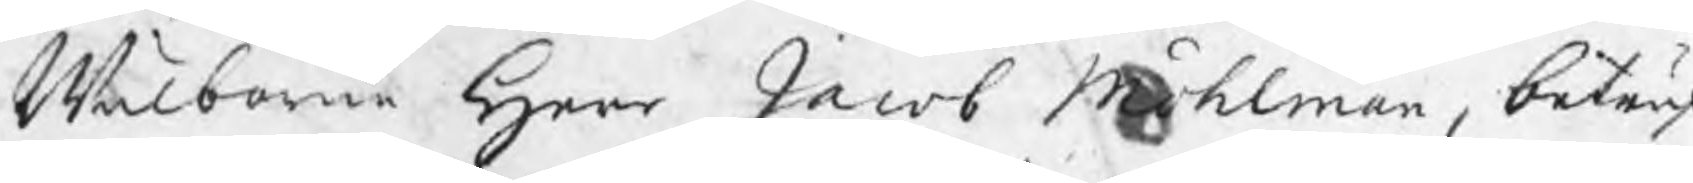Wälborne Herr Jacob Möhlman, beträ
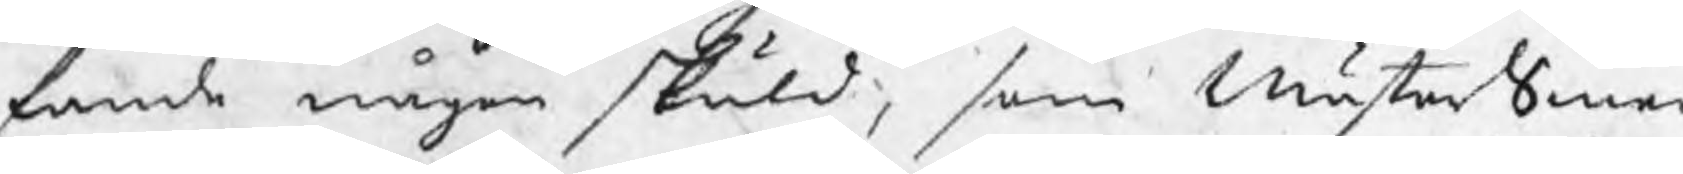fande någon skuld, som MästerSmed
